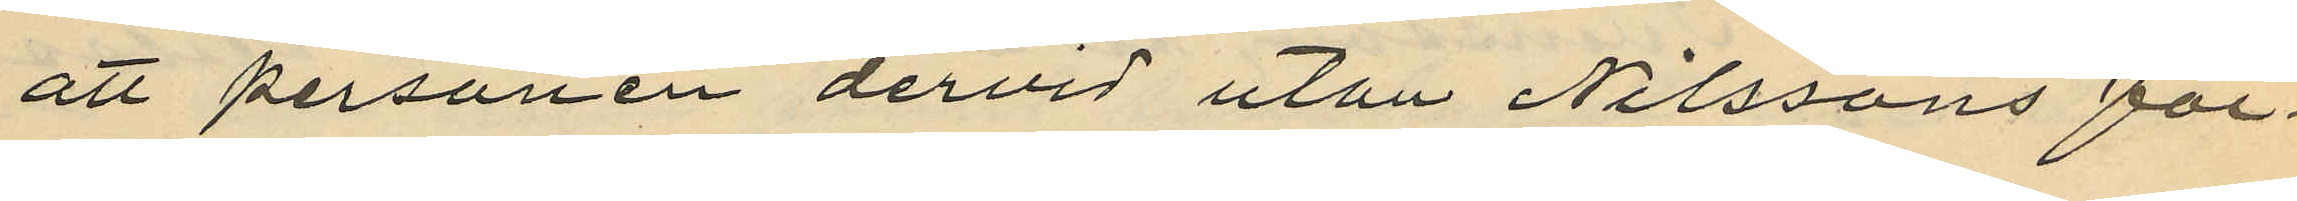att personen dervid utan Nilssons för¬
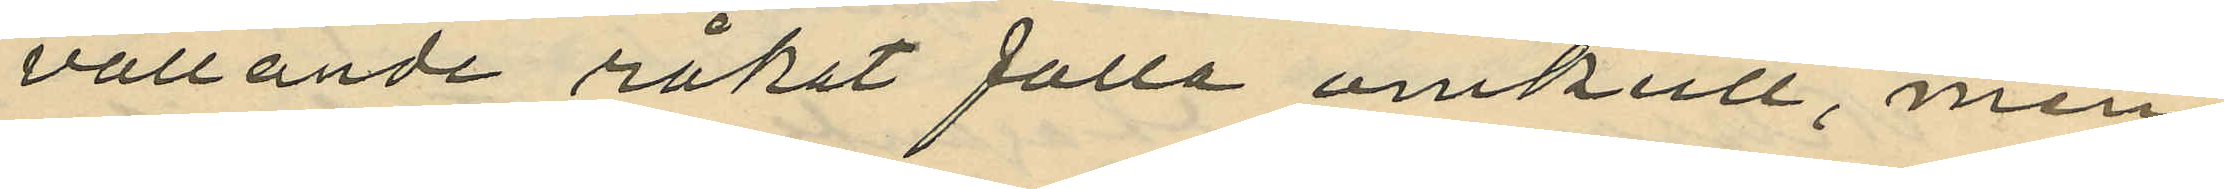vållande råkat falla omkull, men
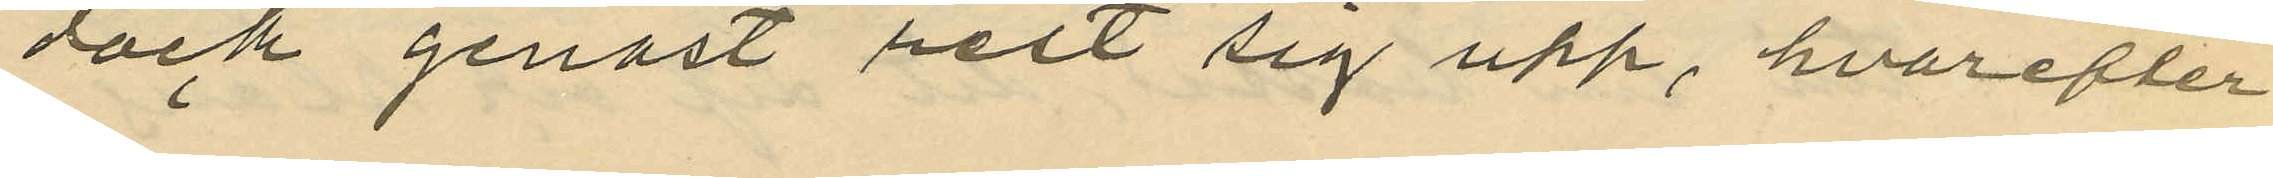dock genast rest sig upp, hvarefter
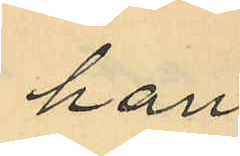han
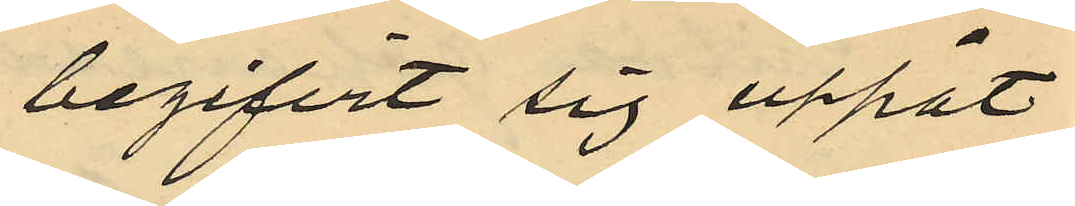begifvit sig uppåt
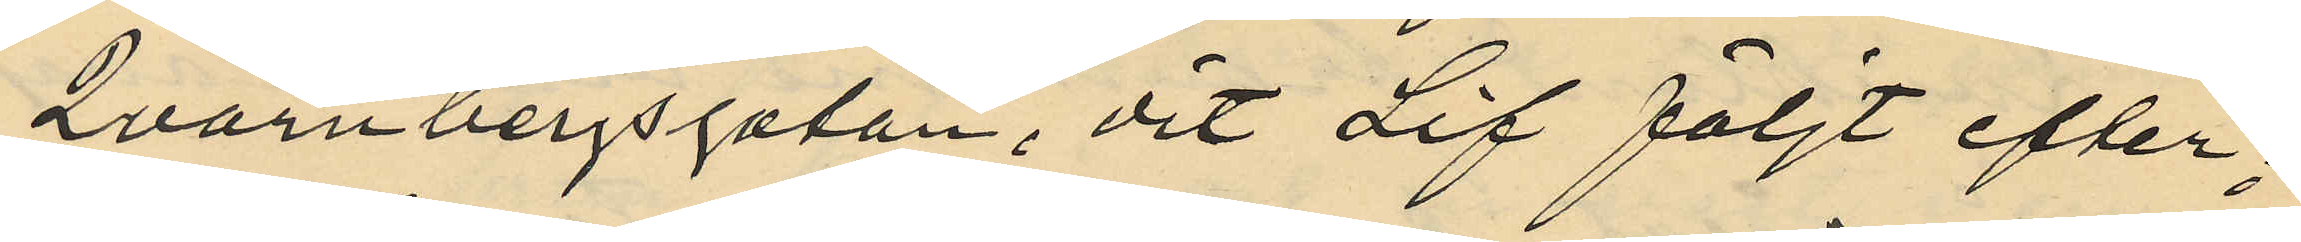Qvarnbergsgatan, dit Lif följt efter;
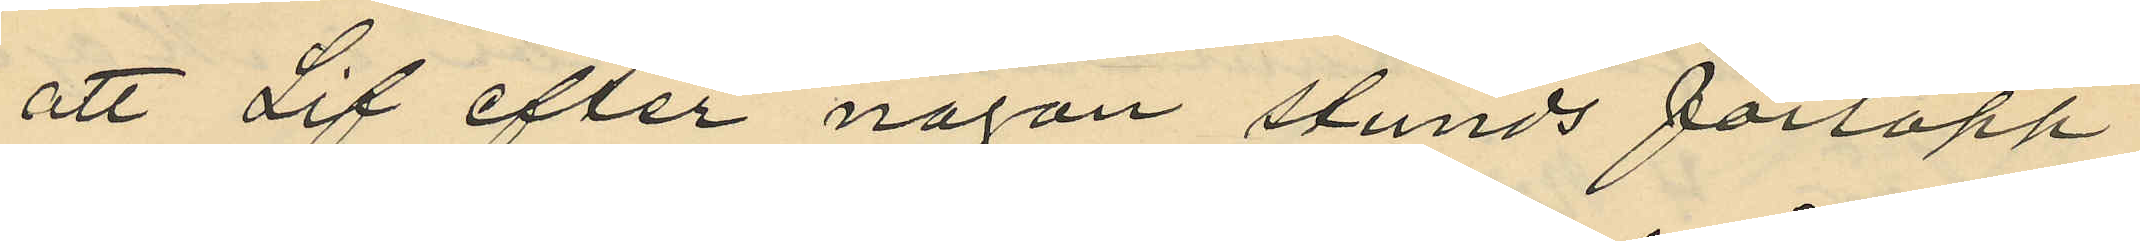att Lif efter någon stunds förlopp
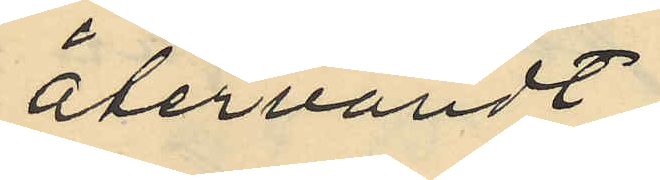återvändt
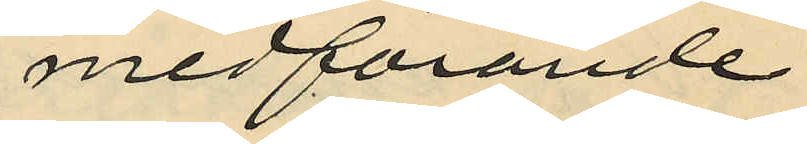medförande
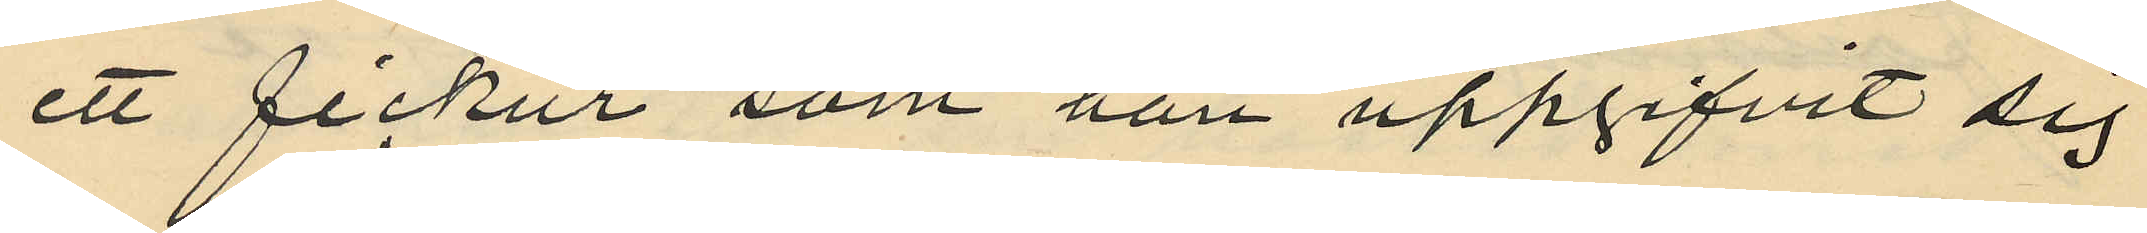ett fickur som han uppgifvit sig
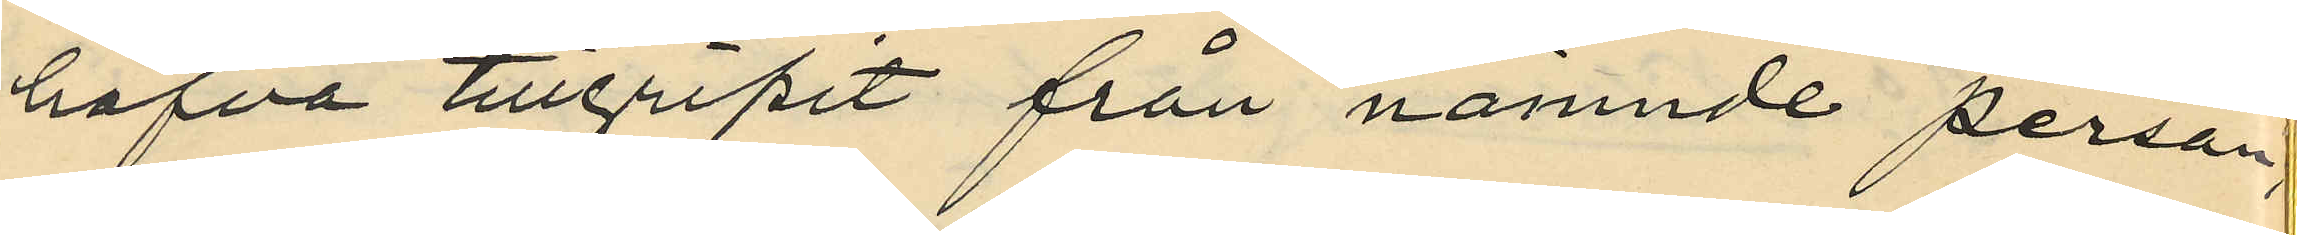hafva tillgripit från nämnde person,
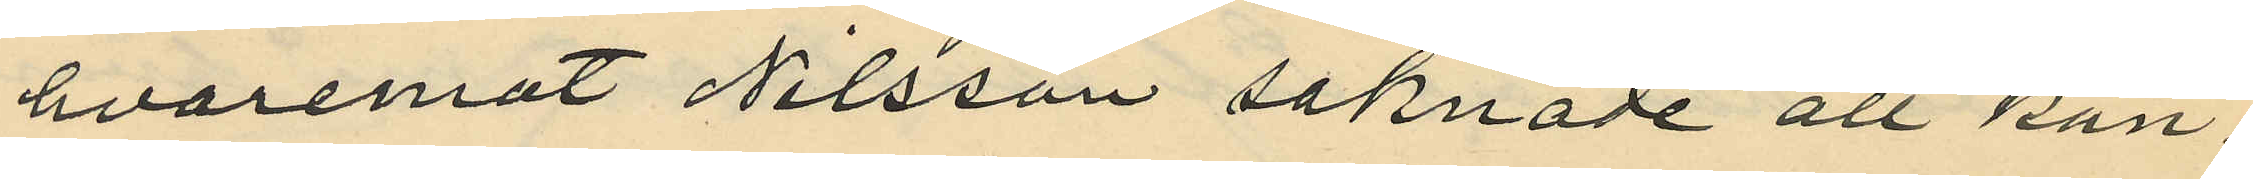hvaremot Nilsson saknade all kän¬
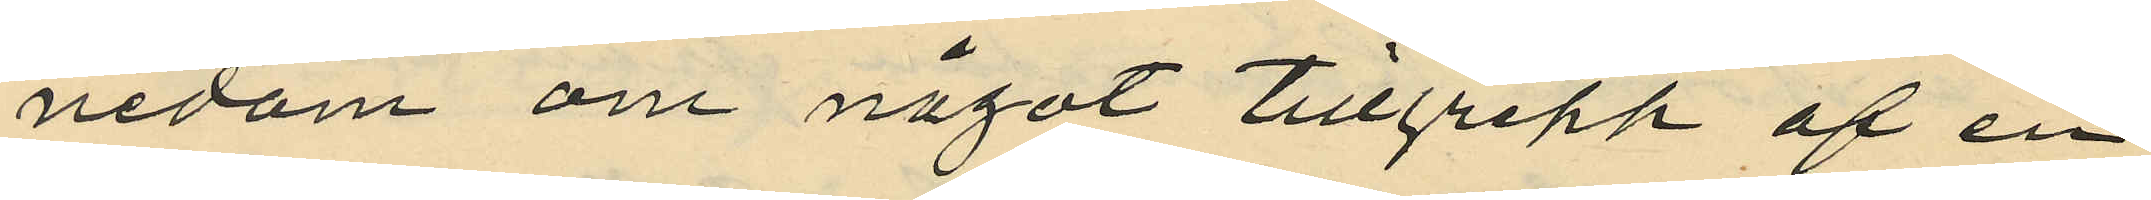nedom om något tillgrepp af en
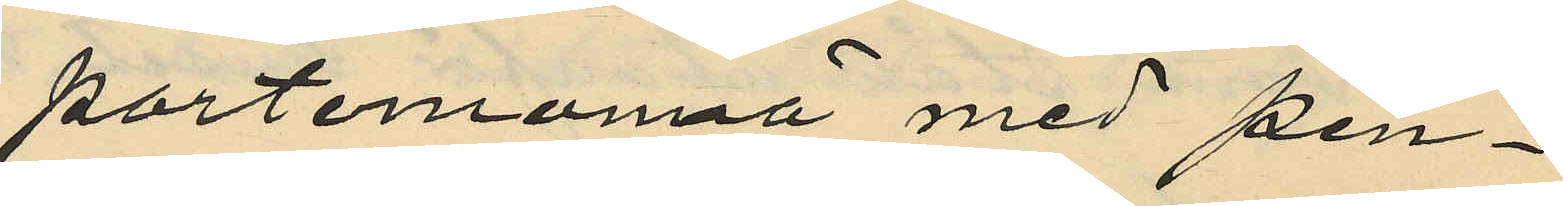portemonnä med pen¬
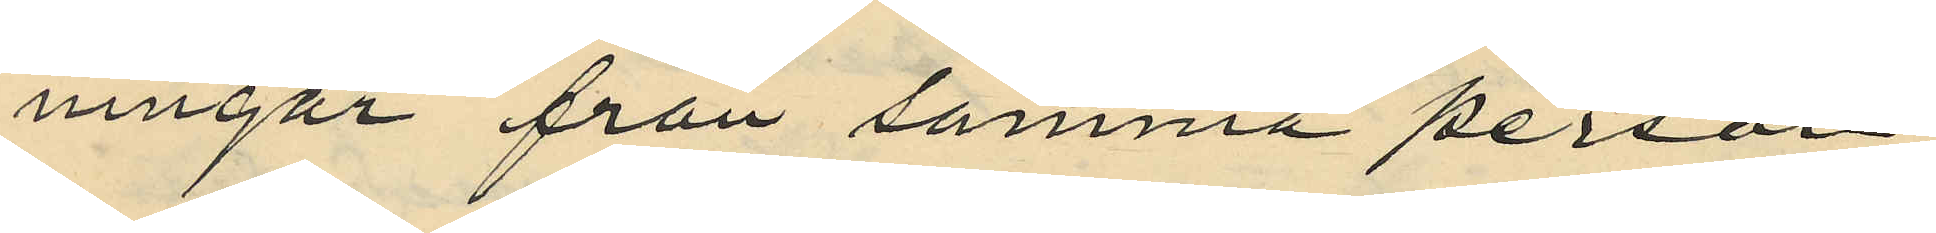ningar från samma person;
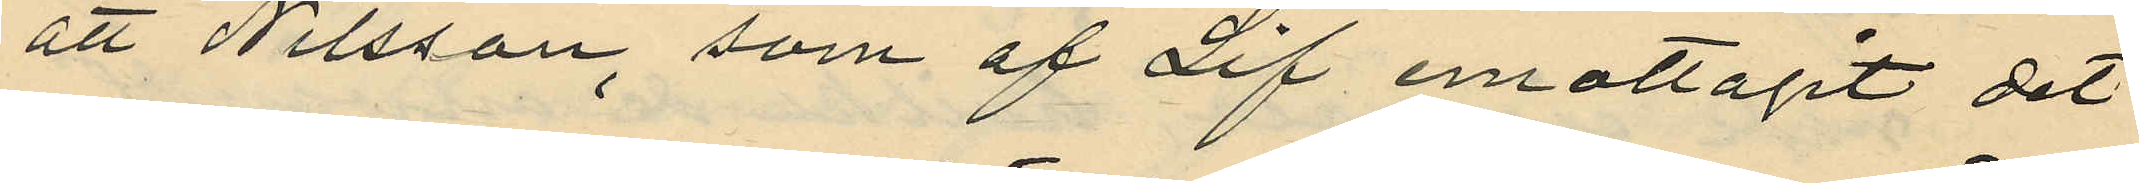att Nilsson, som af Lif emottagit det
